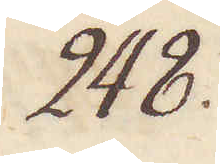248.
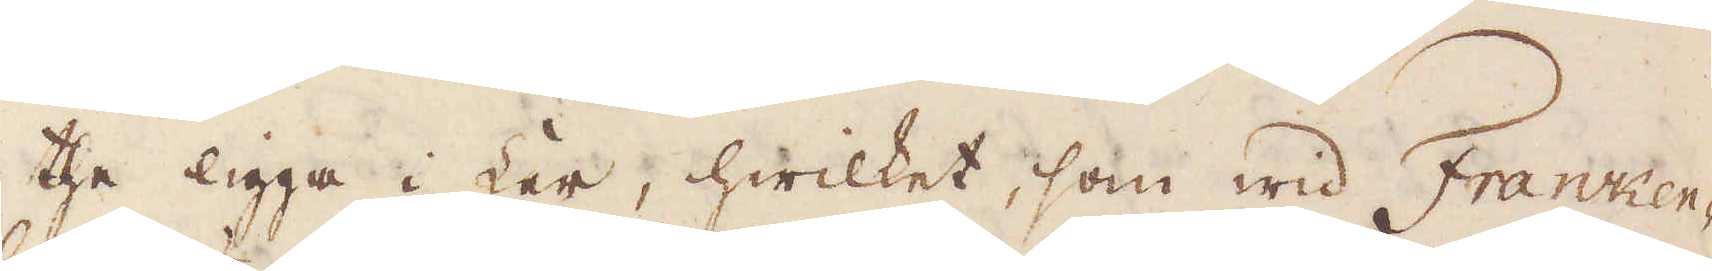the ligga i Ler, hwilket, som wid Franken-
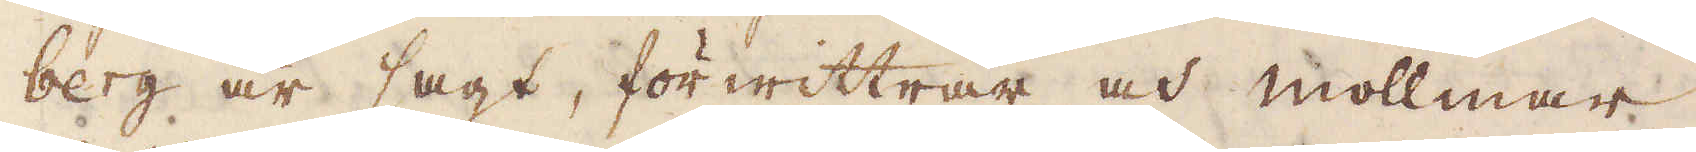berg är sagt, förwittrar och mollmar
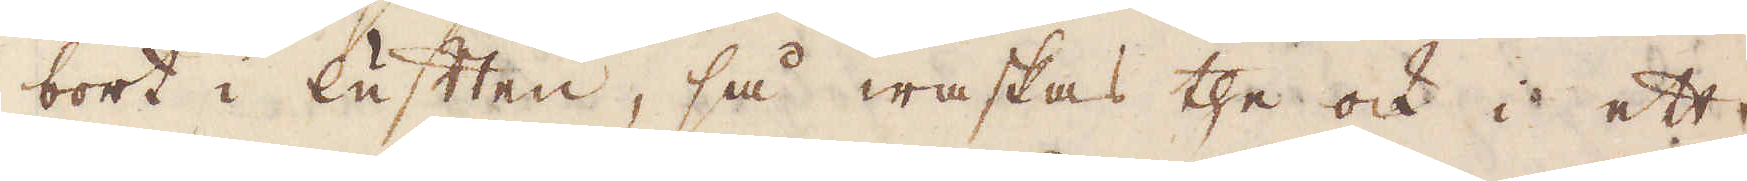bort i luften, så waskas the ock i ett
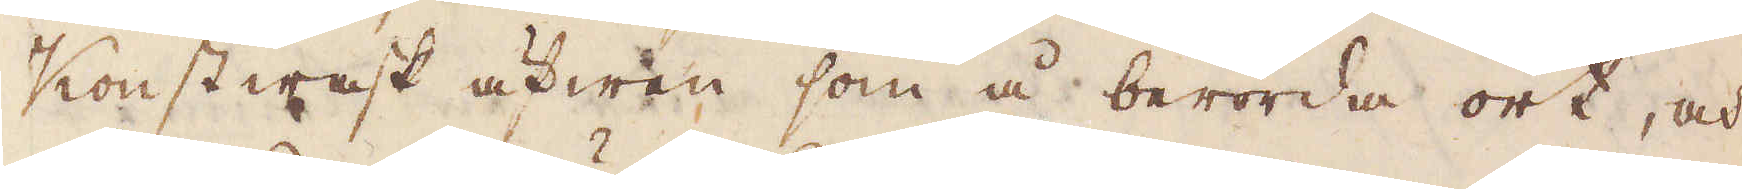Konstwask äfwen som å berörda ort, och
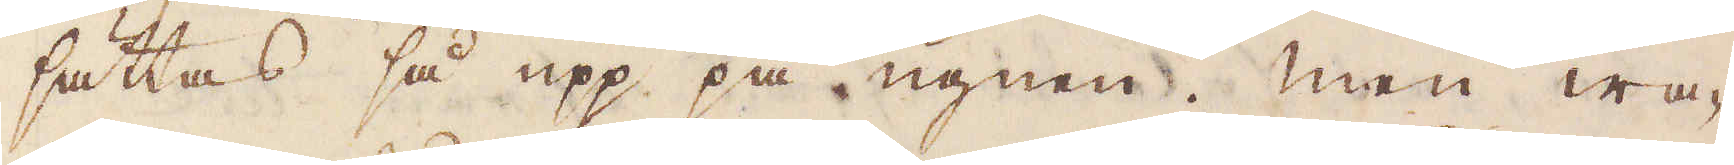sättas så upp på ugnen. Men wa-
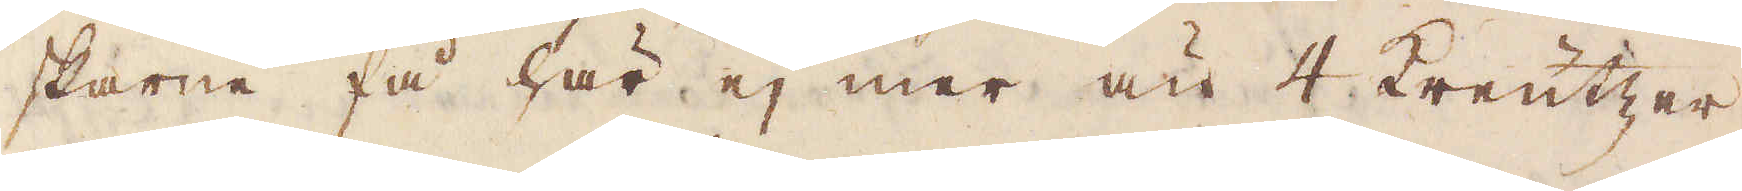skarne få här ej mer än 4 kreutzer
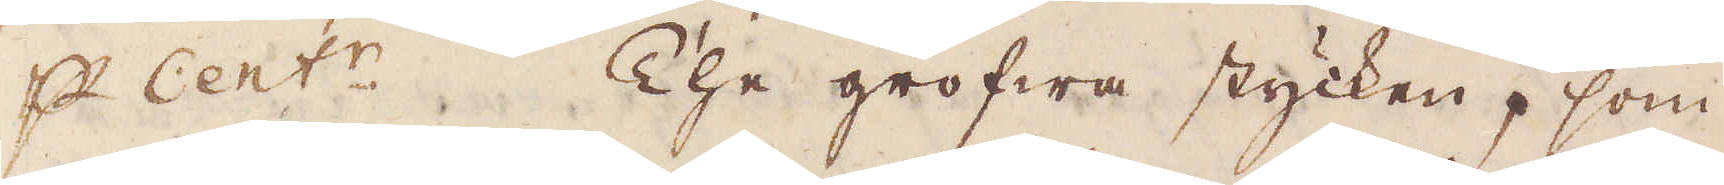p Cent:r. The grofwa stycken, som
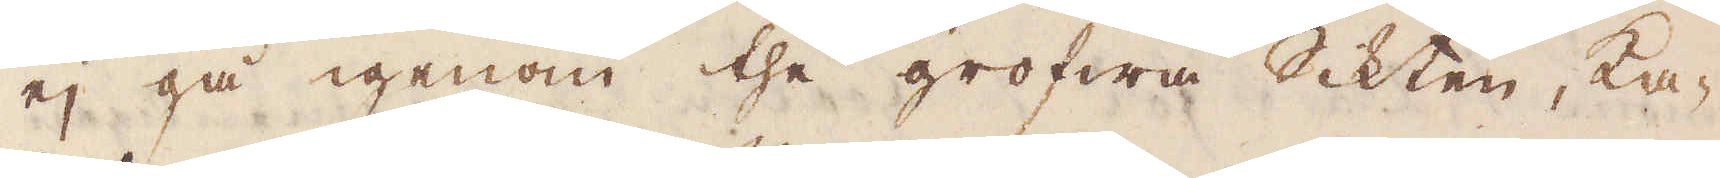ej gå igenom the grofwa Sikten, ka-
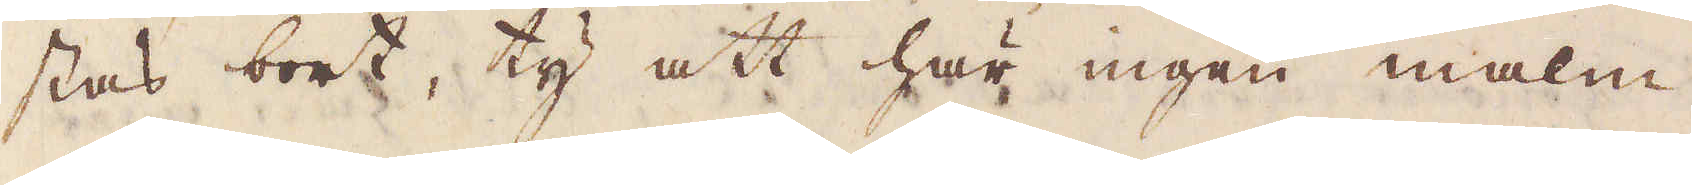stas bort, ty att här ingen malm
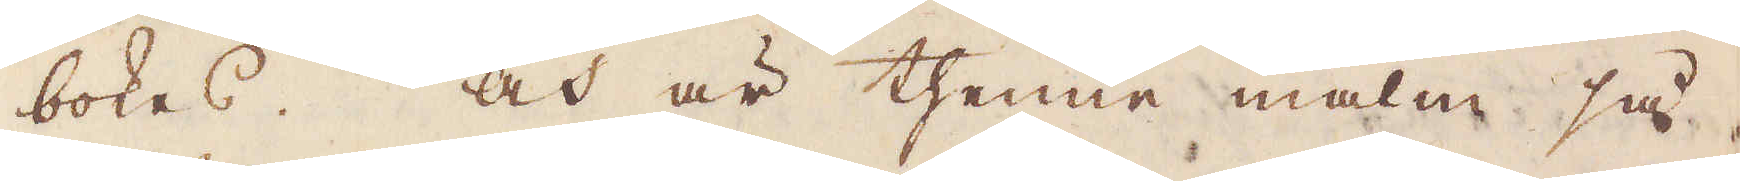bokas. Och är thenne malm så,
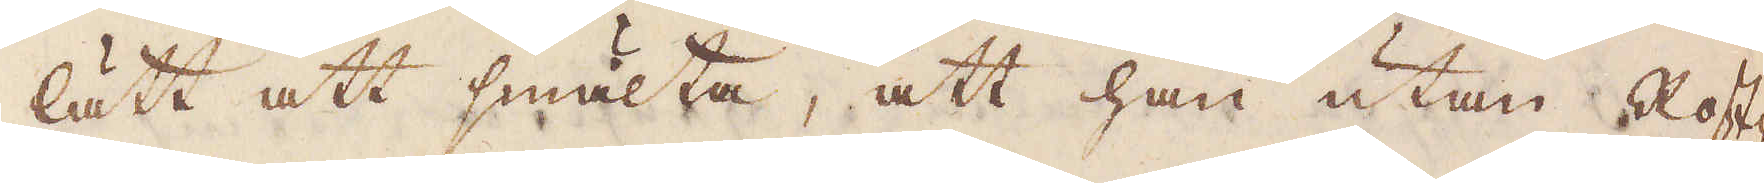lätt att smälta, att han utan Rost-
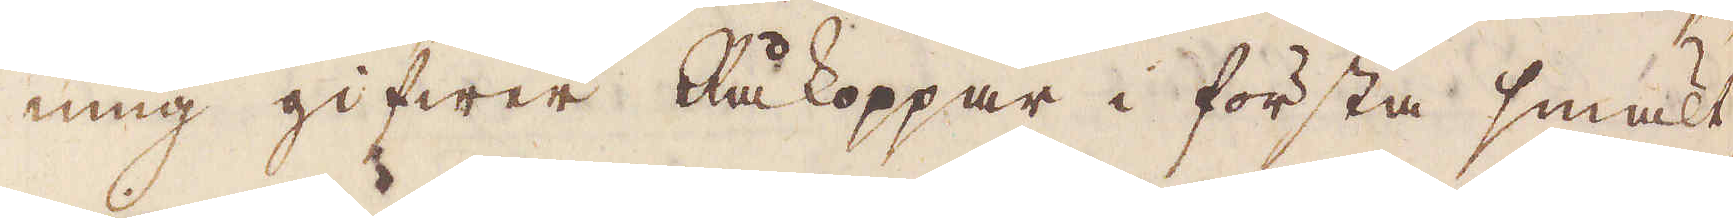ning gifwer Råkoppar i första smält-
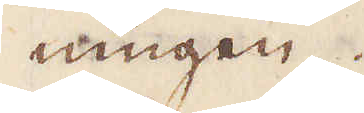ningen.
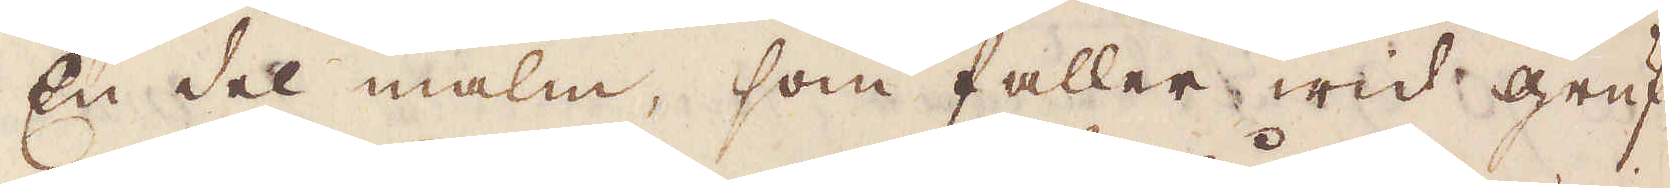En del malm, som faller wid gruf-
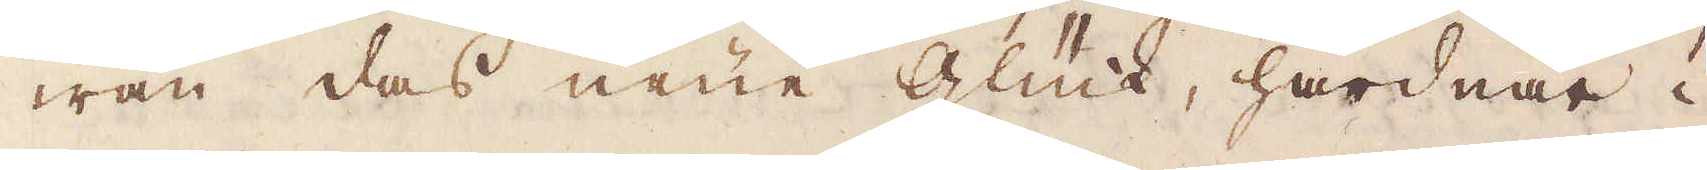wan das neue Glück, hårdnar i
